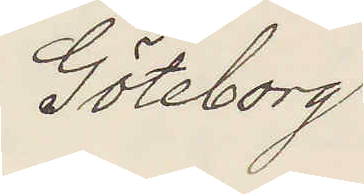Göteborg
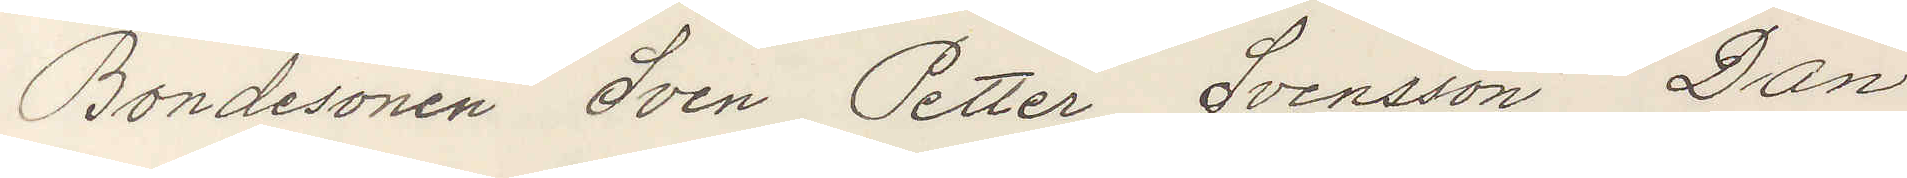Bondesonen Sven Petter Svensson Dan
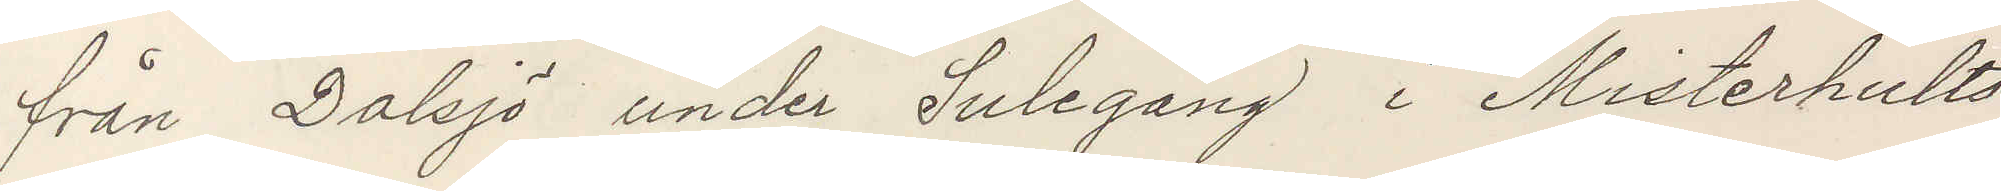från Dalsjö under Sulegång i Misterhults
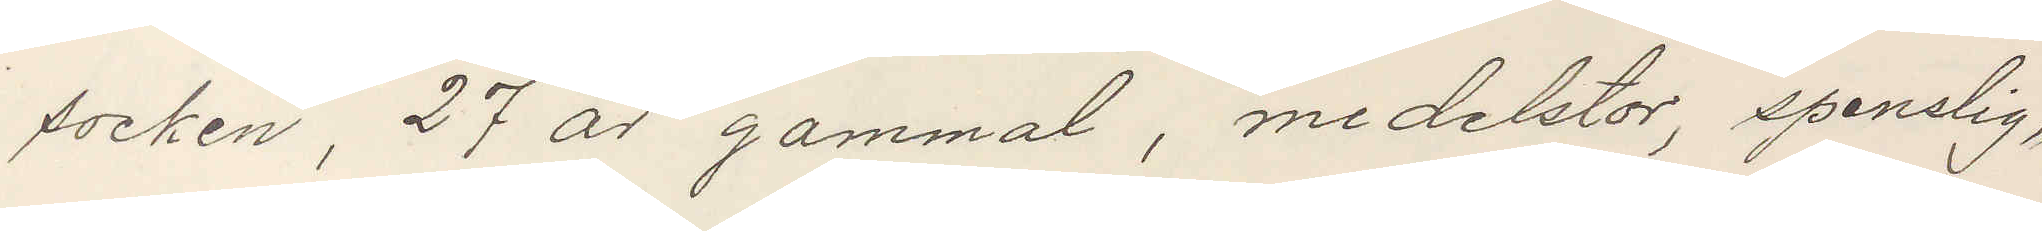socken, 27 år gammal, medelstor, spenslig,
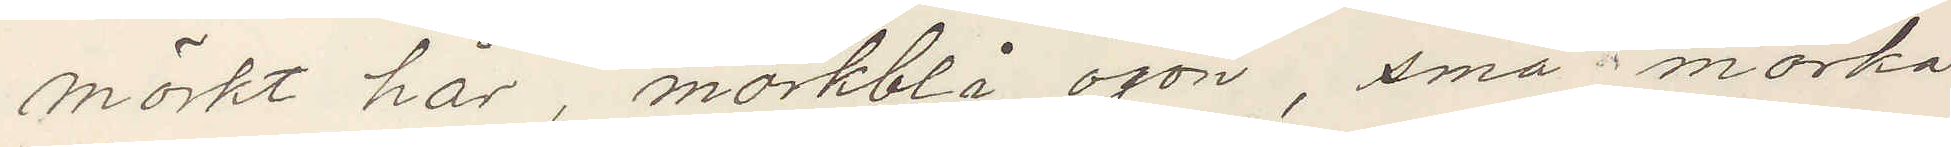mörkt hår, mörkblå ögon, små mörka
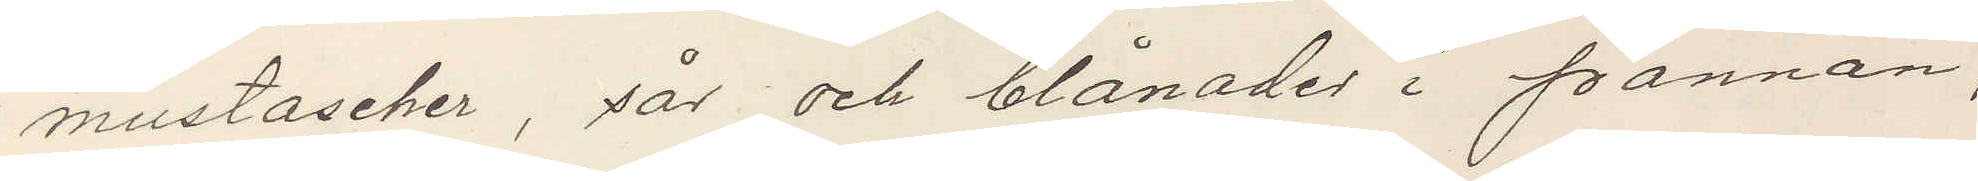mustacher, sår och blånader i pannan,
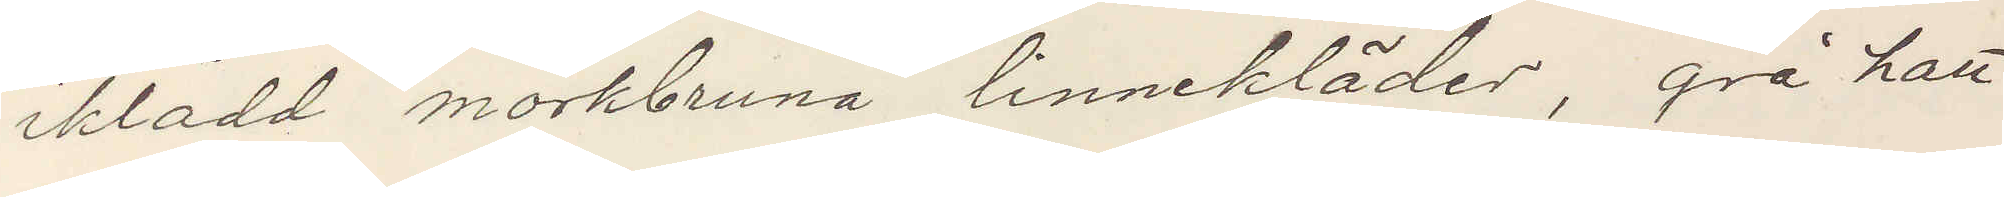iklädd mörkbruna linnekläder, grå hatt,
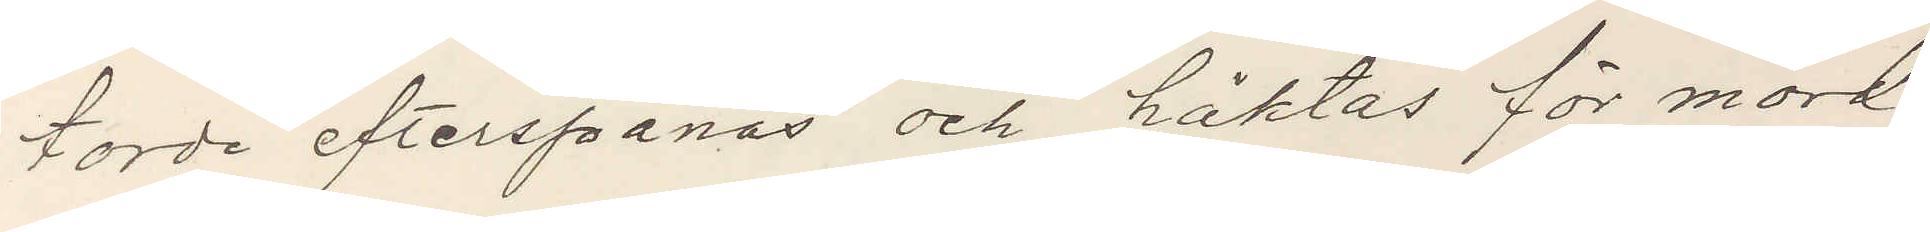torde efterspanas och häktas för mord
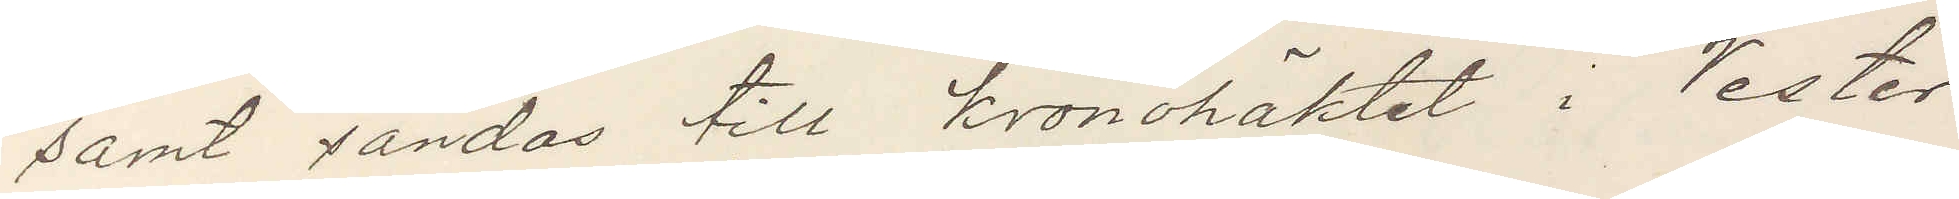samt sändas till kronohäktet i Vester¬
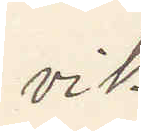vik.
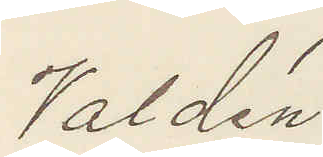Valdén
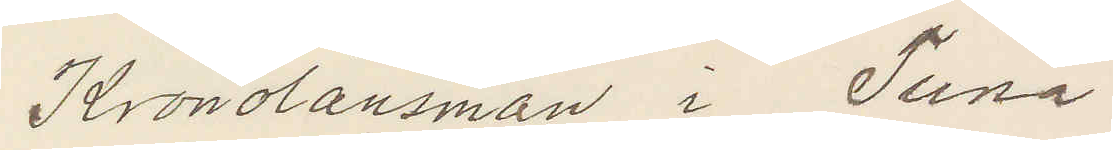Kronolänsman i Tuna
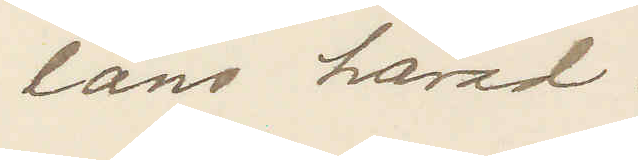läns härad.
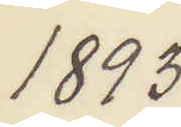1893.
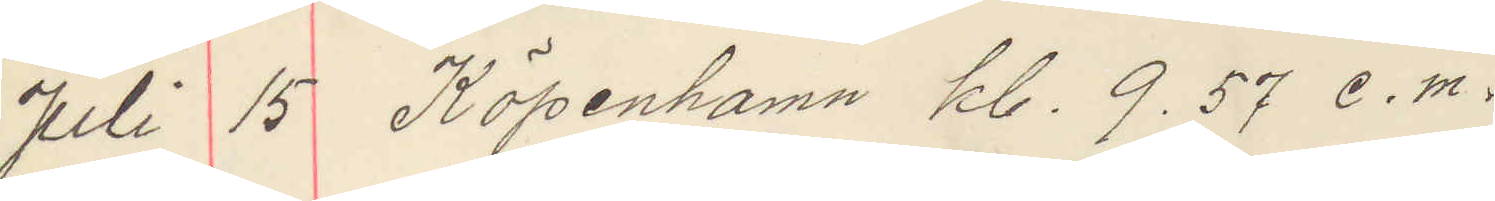Juli 15 Köpenhamn kl. 9.57 e. m.
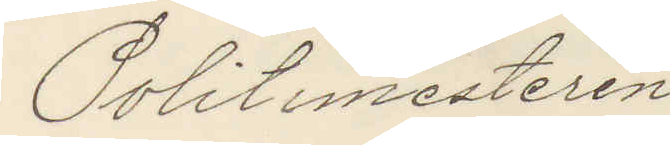Politimesteren.
